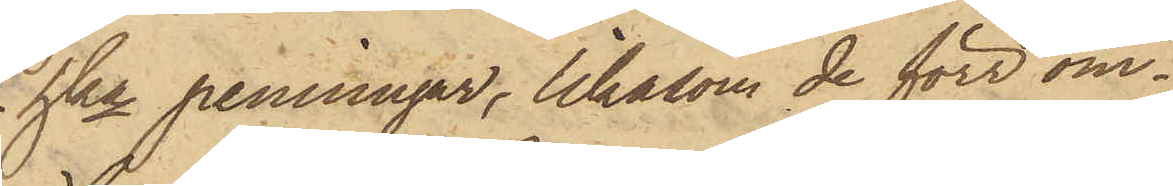hka penningar, likasom de förr om¬
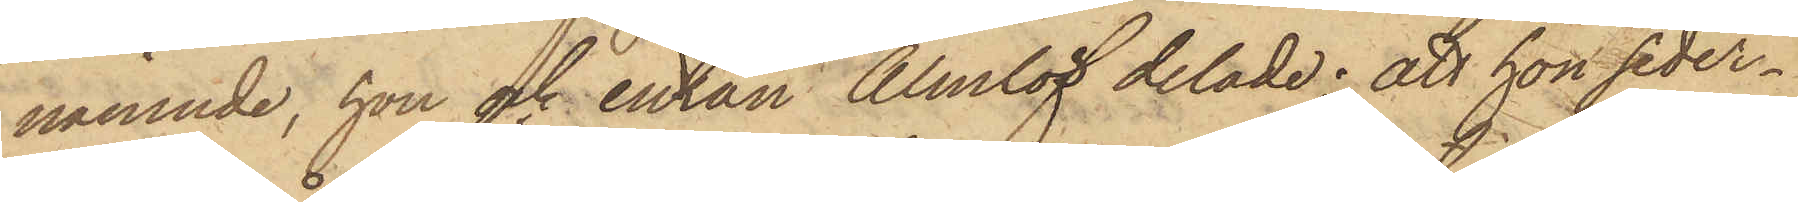nämnde, hon och enkan Almlöf delade; att hon seder¬
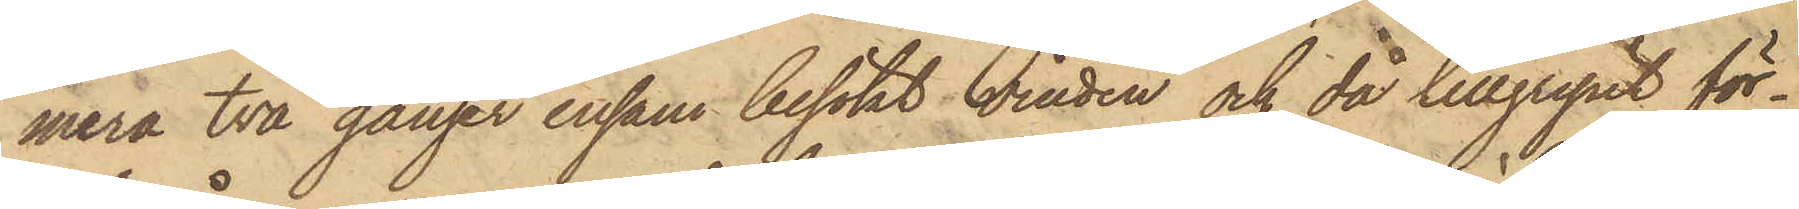mera två gånger ensam besökt vinden och då tillgripit för¬
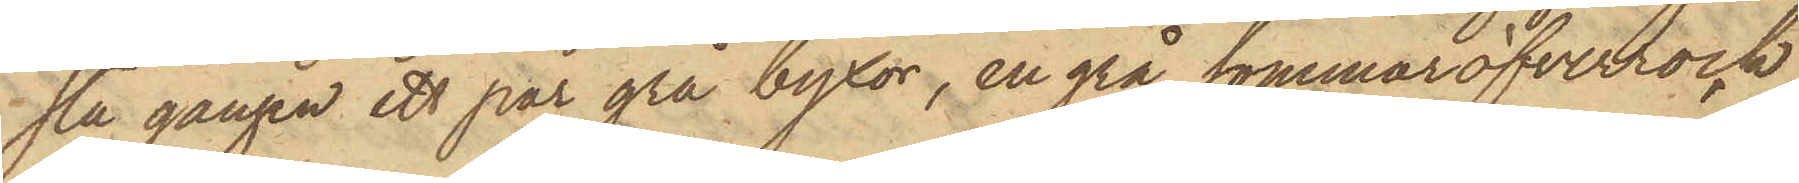sta gången ett par grå byxor, en grå sommaröfverrock
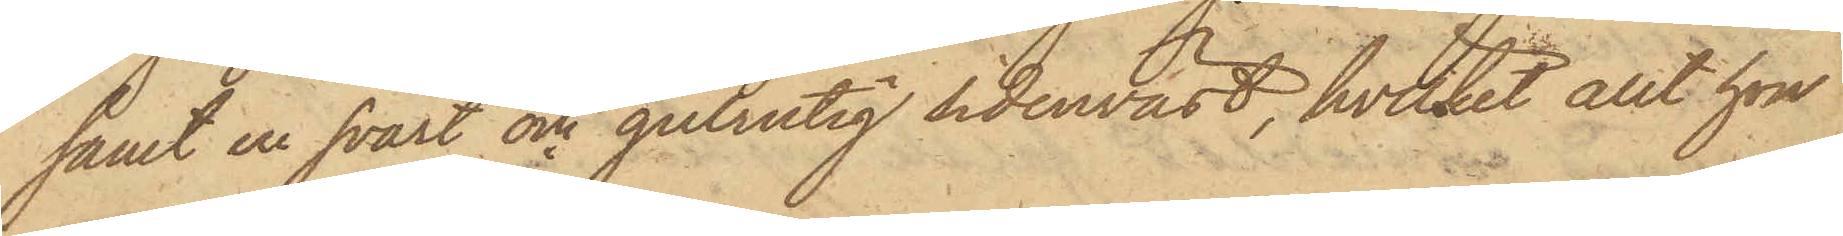samt en svart och gulrutig sidenväst, hvilket allt hon
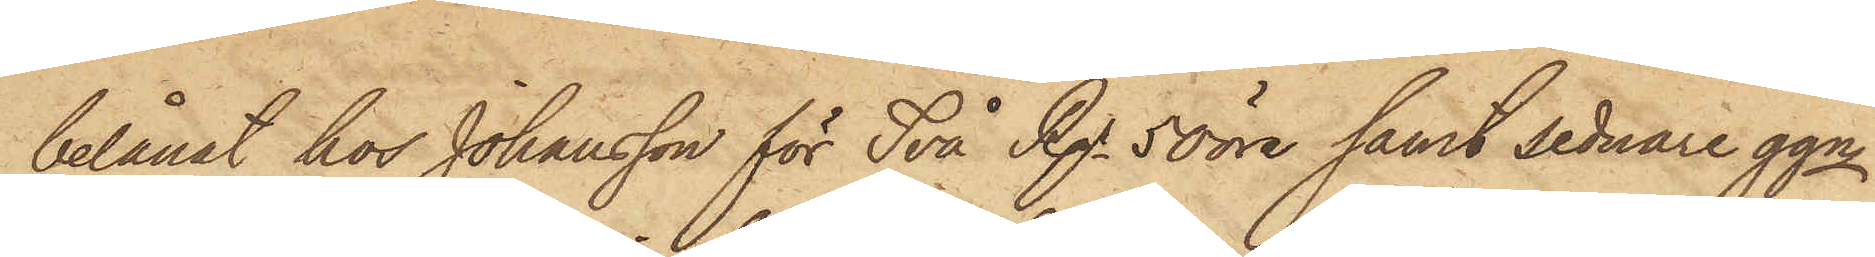belånat hos Johansson för Två Rgr 50 öre samt sednare ggn
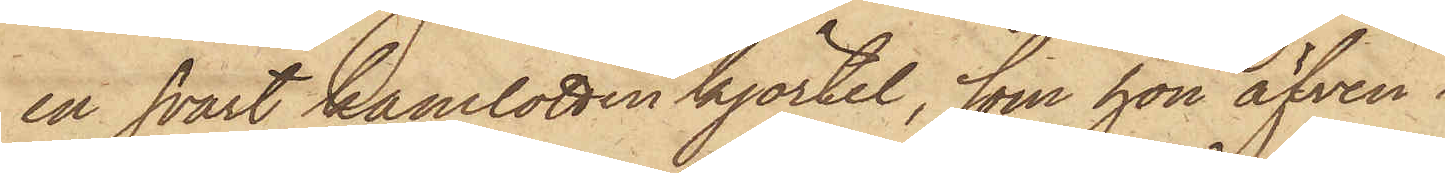en svart kamlottinkjortel, som hon äfven
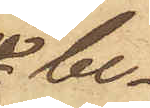be¬
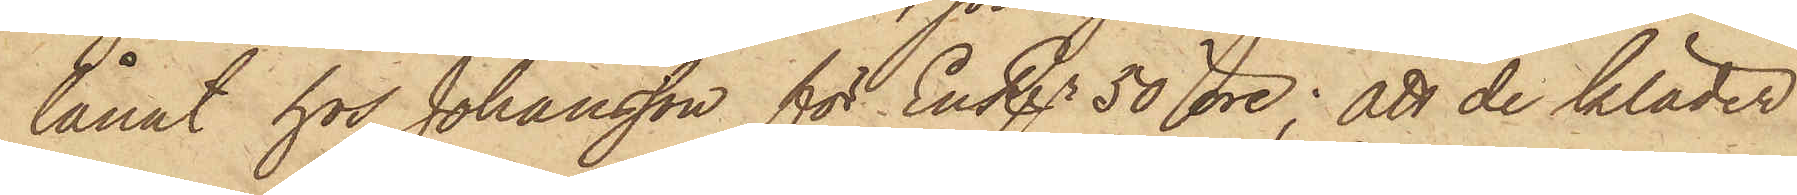lånat hos Johansson för En Rgr 50 öre; att de kläder
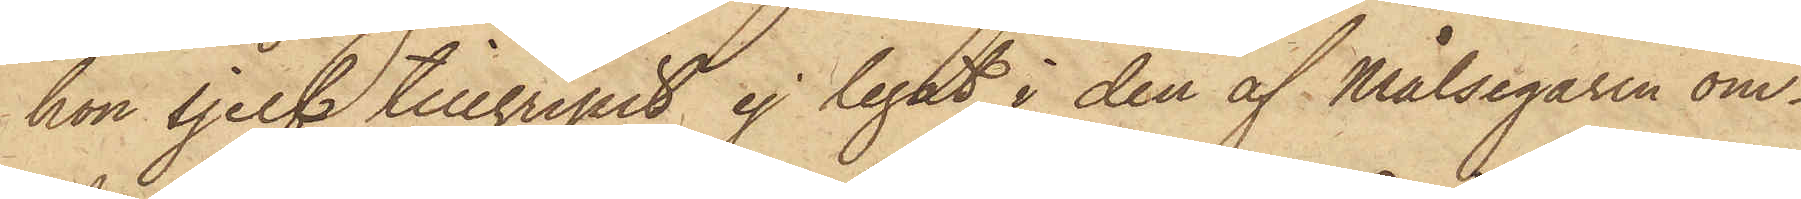hon sjelf tillgripit ej legat i den af Målsegaren om¬
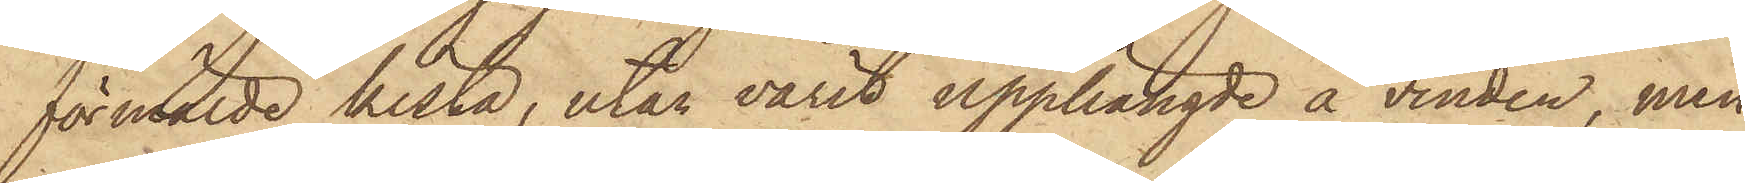förmälde kista, utan varit upphängde å vinden, men
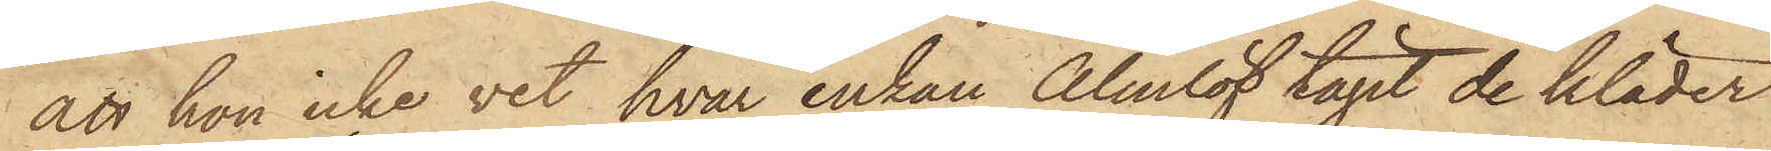att hon icke vet, hvar enkan Almlöf tagit de kläder
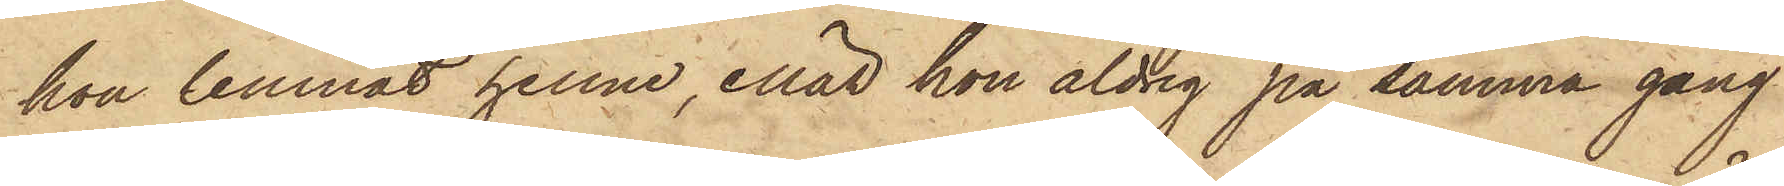hon lemnat henne, enär hon aldrig på samma gång
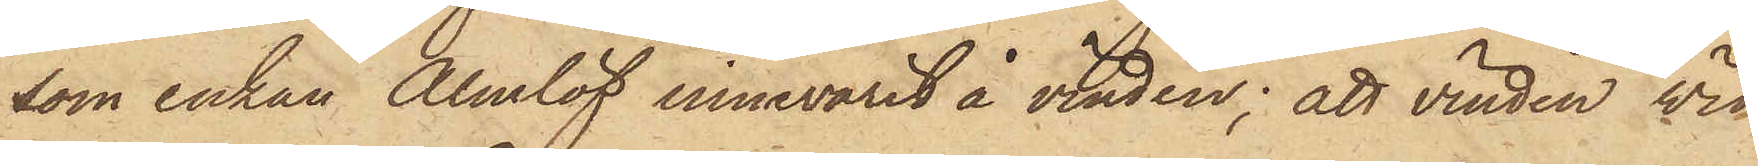som enkan Almlöf innevarit å vinden; att vinden vid
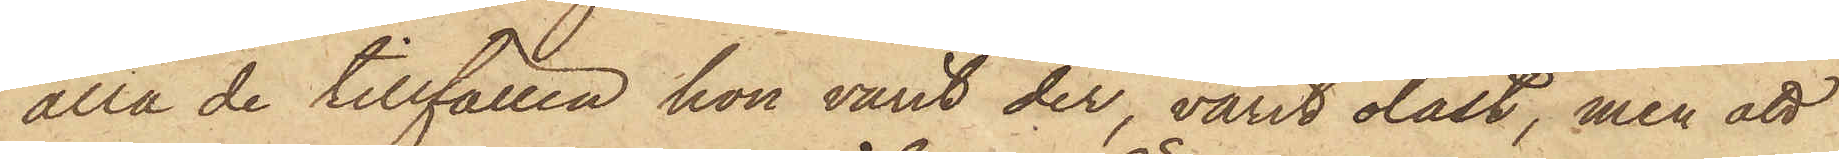alla de tillfällen hon varit der, varit olåst, men att
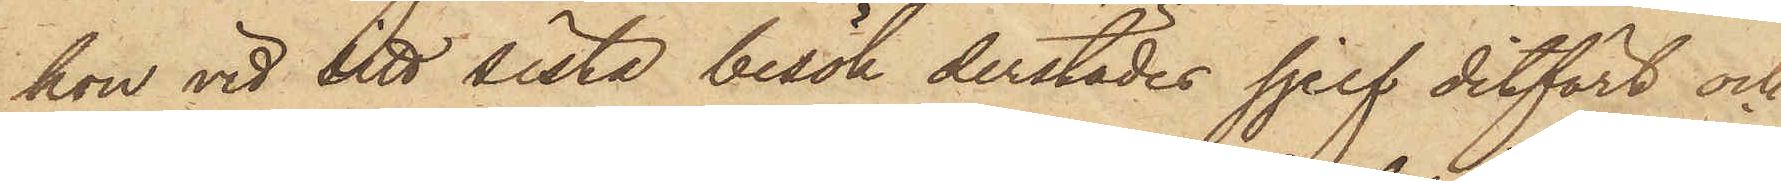hon vid sitt sista besök derstädes sjelf ditfört och
